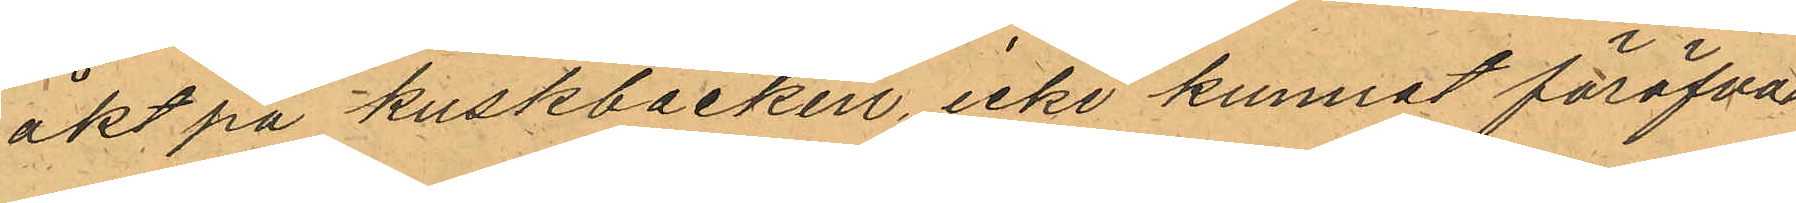åkt på kuskbocken icke kunnat föröfvat
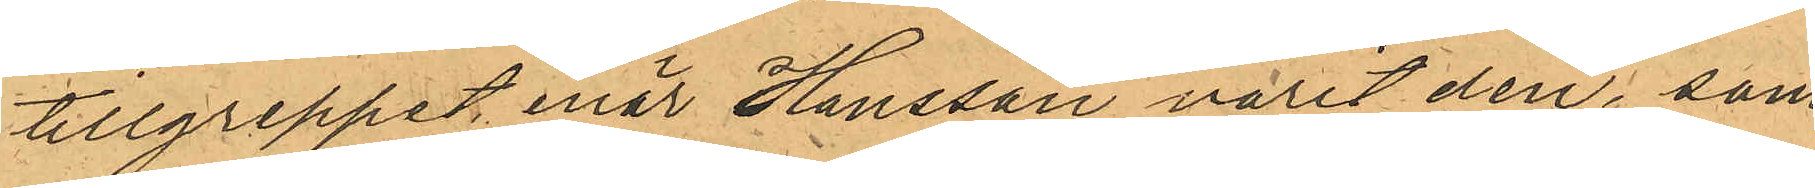tillgreppet enär Hansson varit den, som
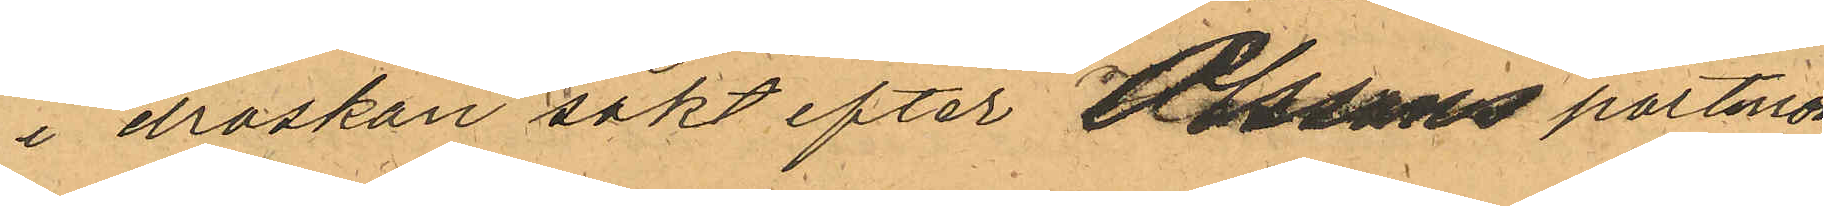i droskan sökt efter Olssons portmon¬
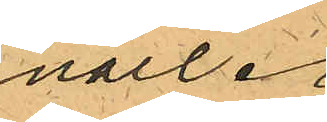naie.
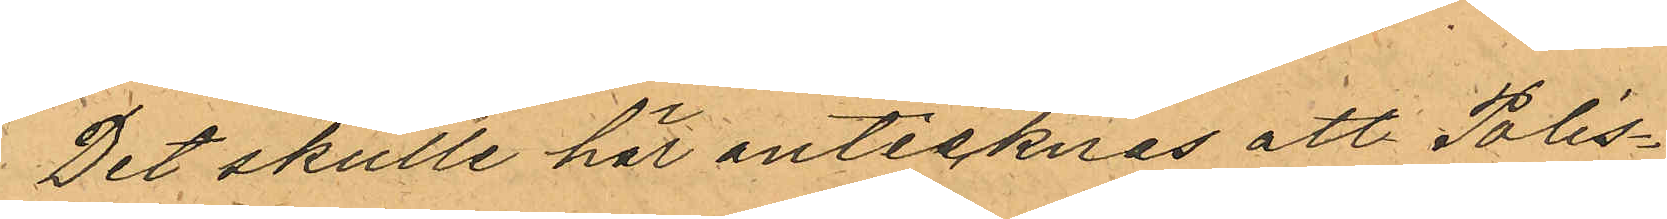Det skulle här antecknas att Polis¬
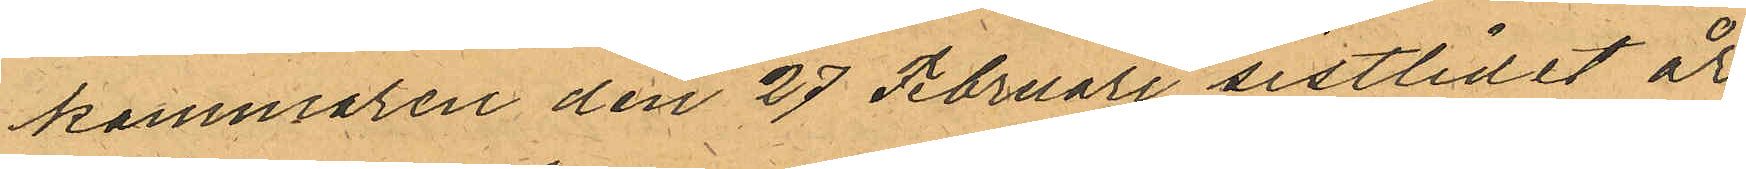kammaren den 27 Februari sistlidet år
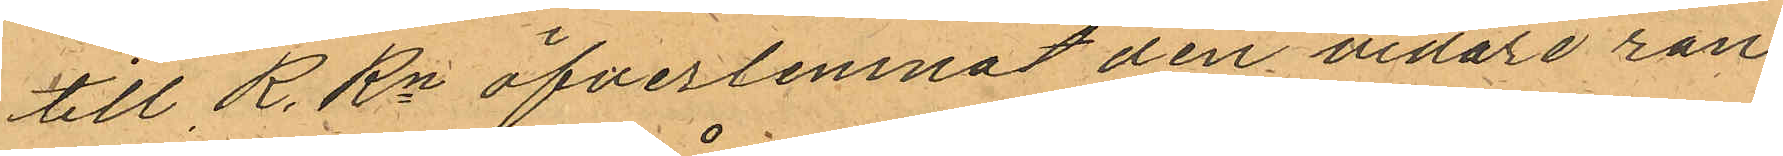till R.Rn öfverlemnat den vidare ran¬
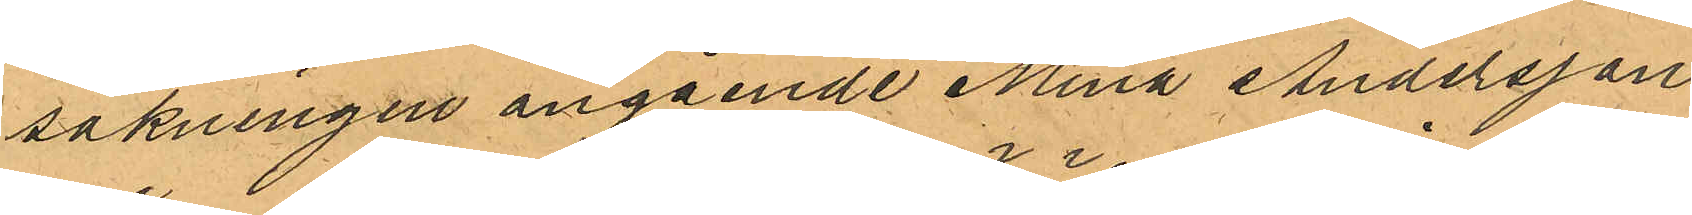sakningen angående Mina Andersson
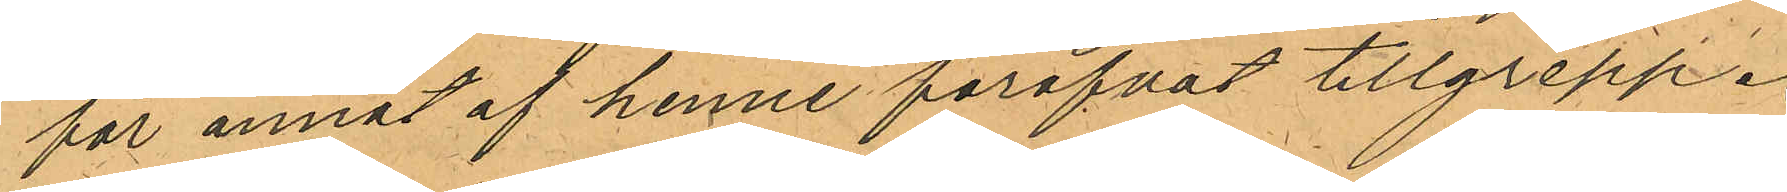för annat af henne föröfvat tillgrepp.
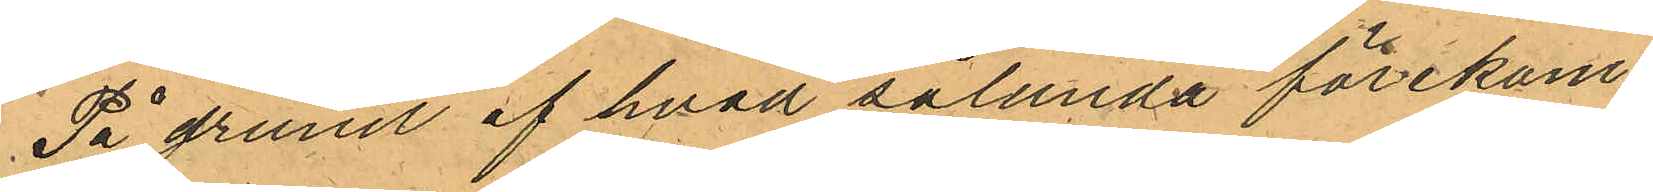På grund af hvad sålunda förekom¬
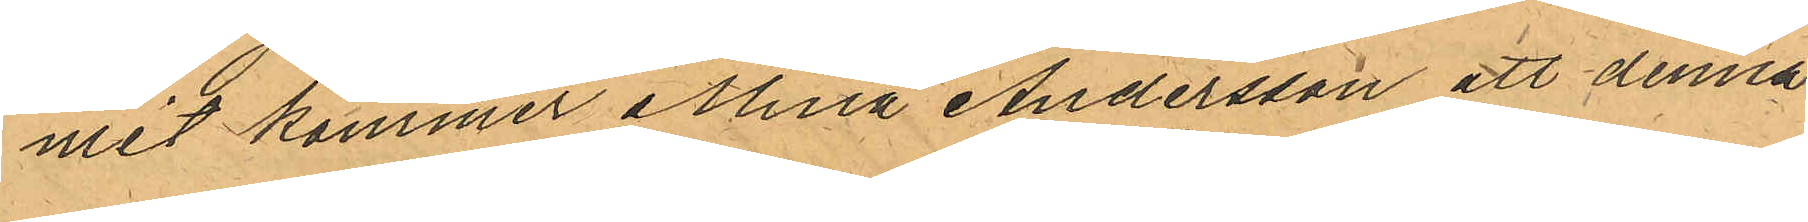mit kommer Mina Andersson att denna
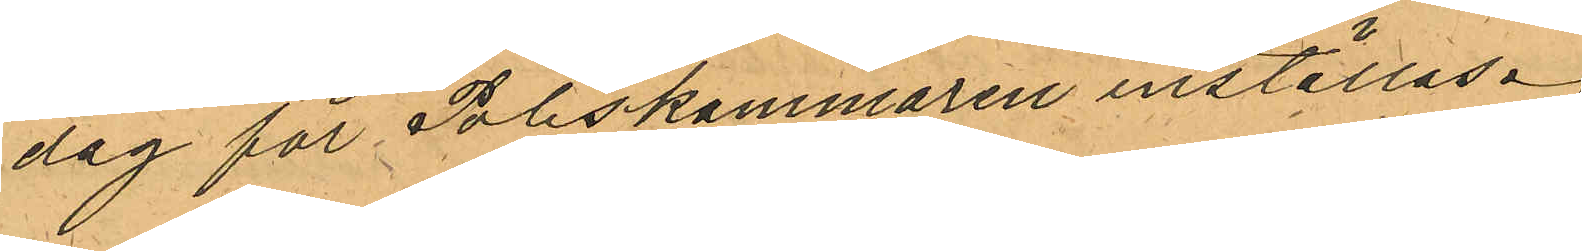dag för Poliskammaren inställas.
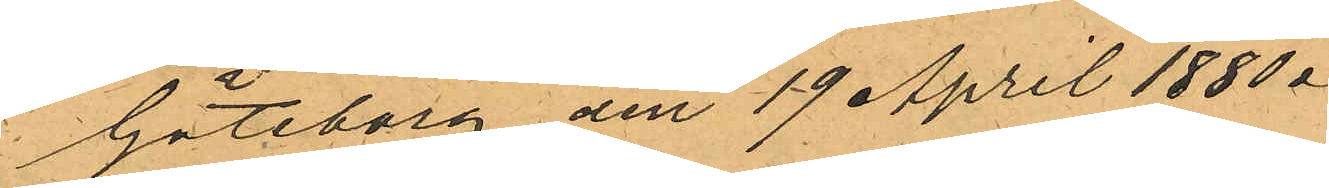Göteborg den 19 April 1880.
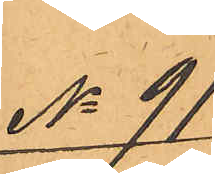No 91
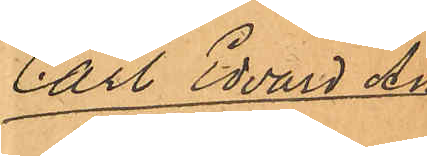Carl Edvard An¬
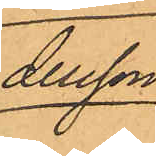dersson.
